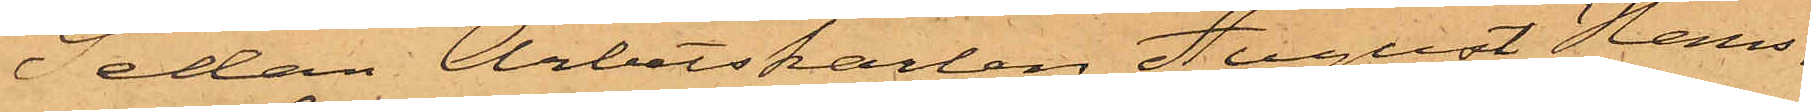Sedan Arbetskarlen August Hans¬
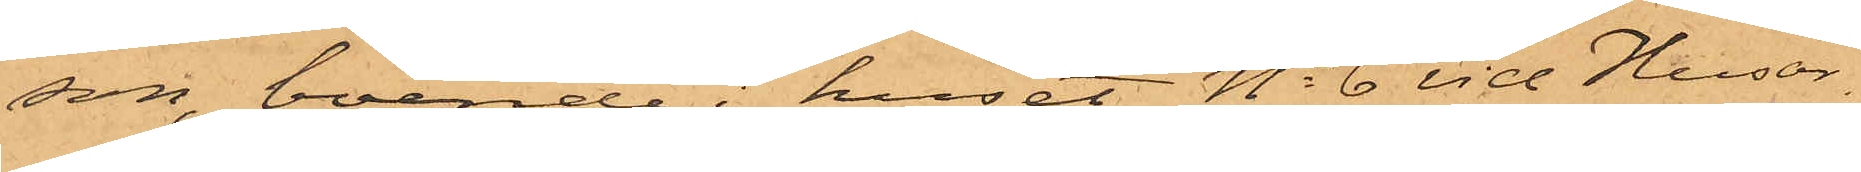son, boende i huset No 6 vid Husar¬
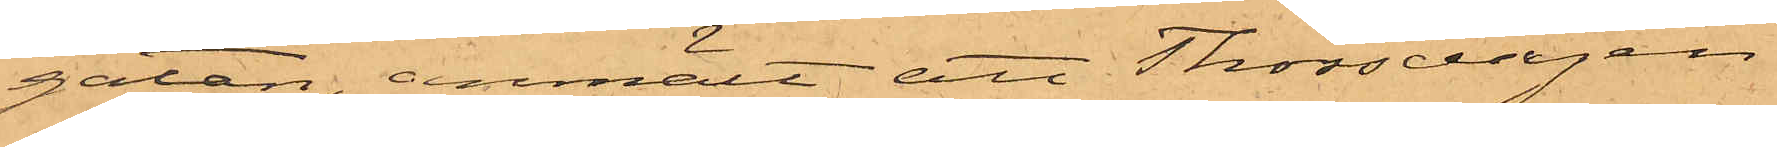gatan, anmält att Thorsdagen
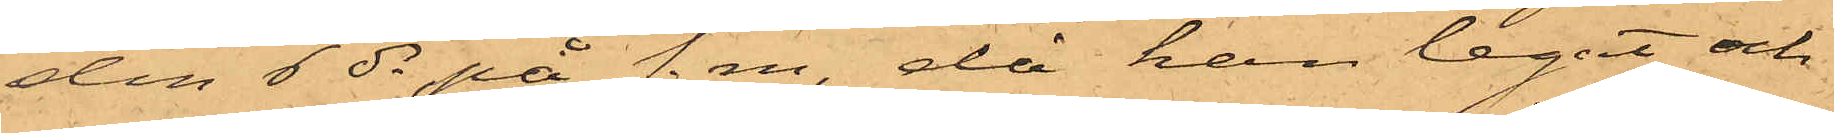den 6 ds på f. m., då han legat och
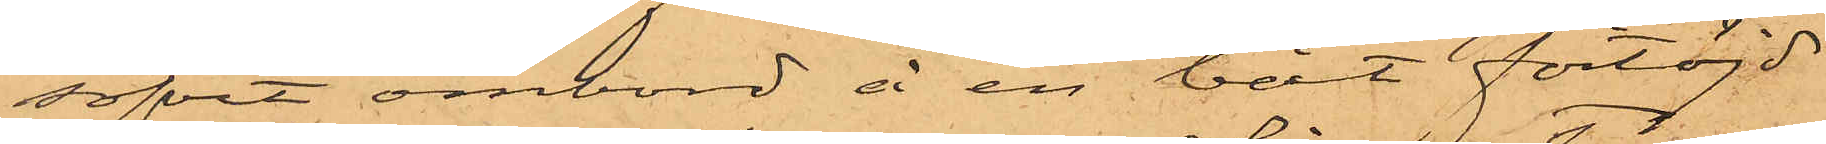sofvit ombord å en båt förtöjd
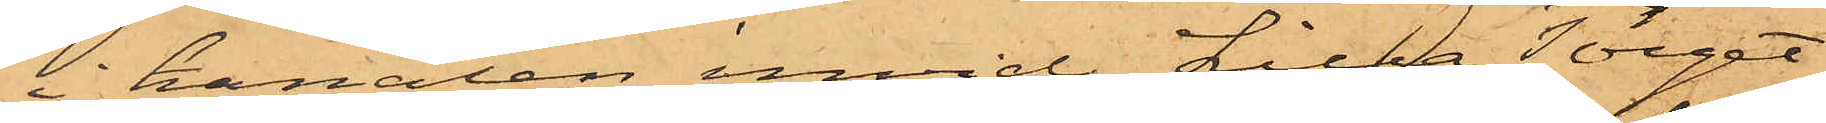i kanalen invid Lilla Torget,
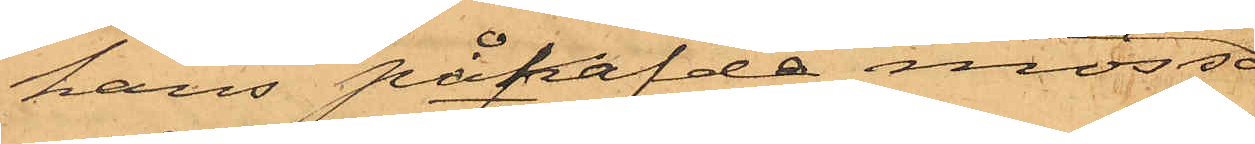hans påhafde mössa,
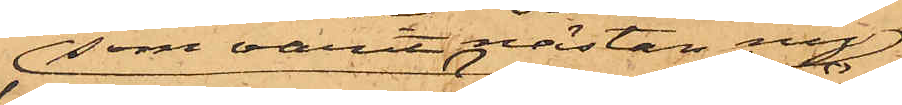som varit nästan ny
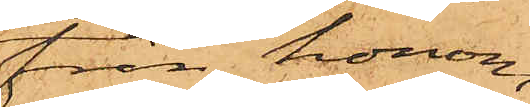från honom
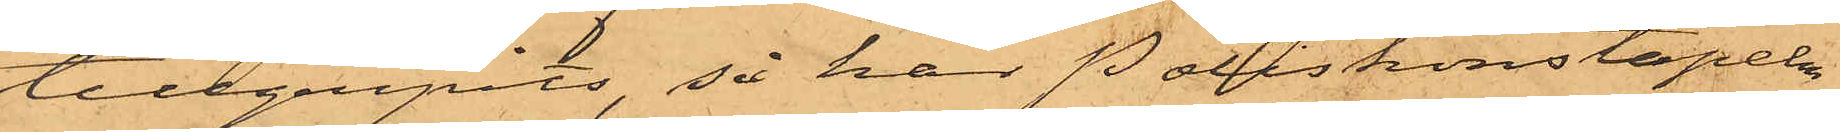tillgripits, så har Poliskonstapeln
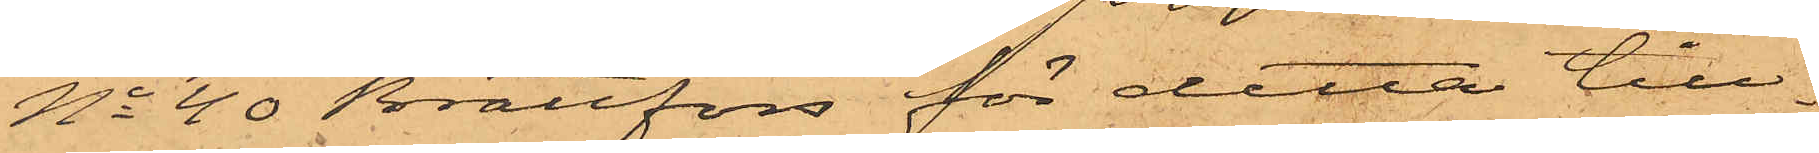No 40 Brattfors för detta till¬
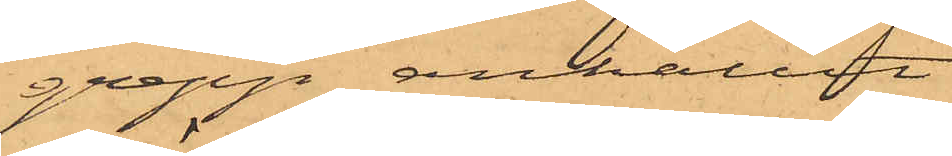grepp anhållit
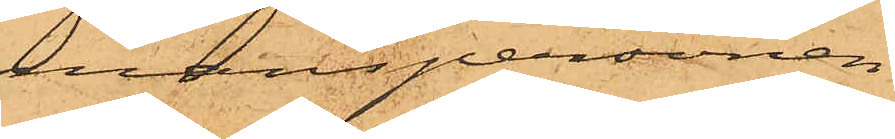manspersonen
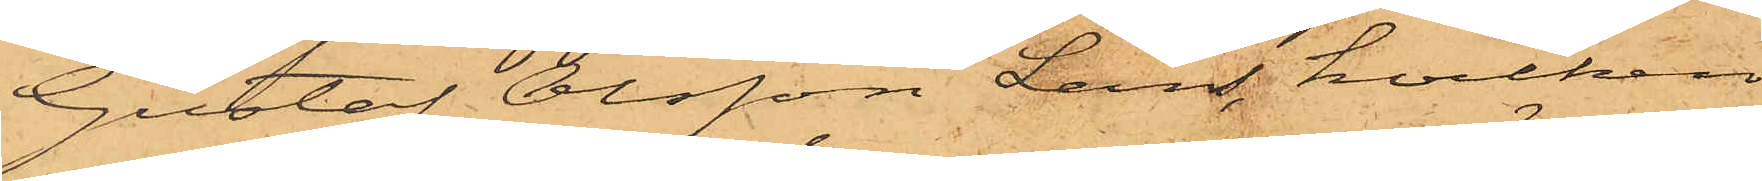Gustaf Olsson Lans, hvilken
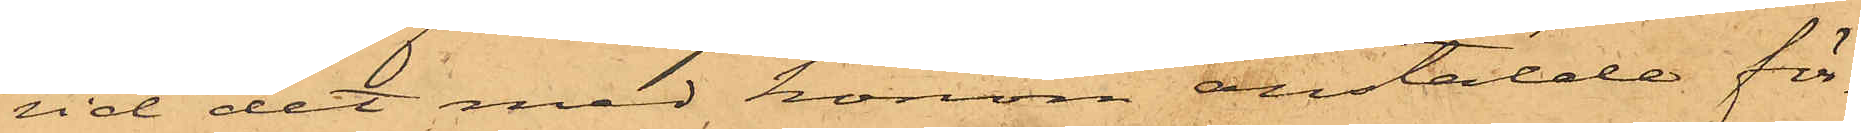vid det med honom anstälde för¬
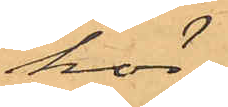hör
